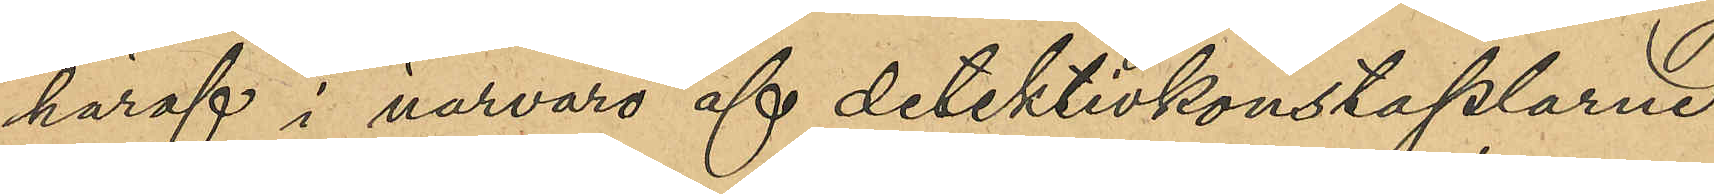häraf i närvaro af detektivkonstaplarne
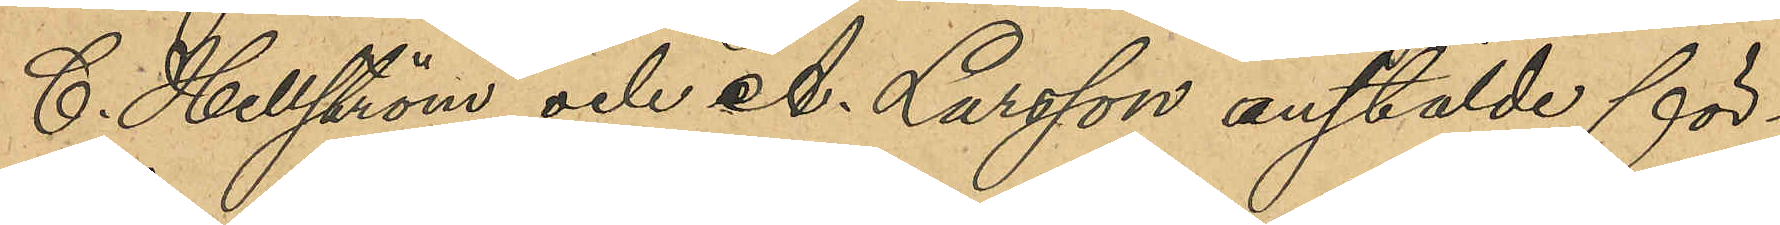C. Hellström och A. Larsson anstälde för¬
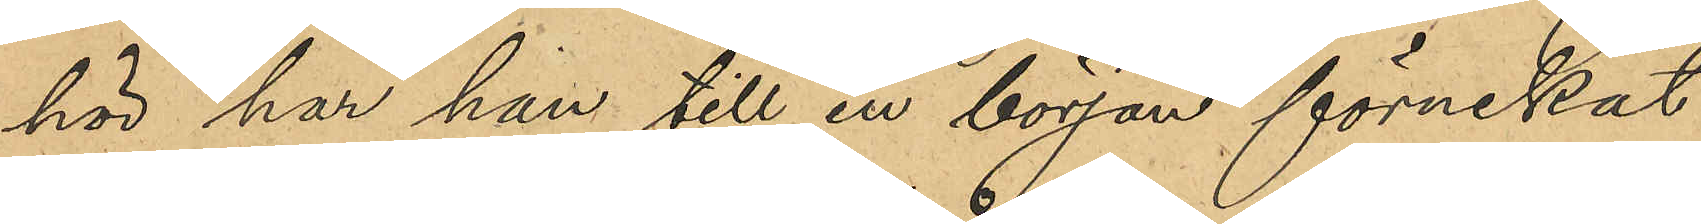hör har han till en början förnekat
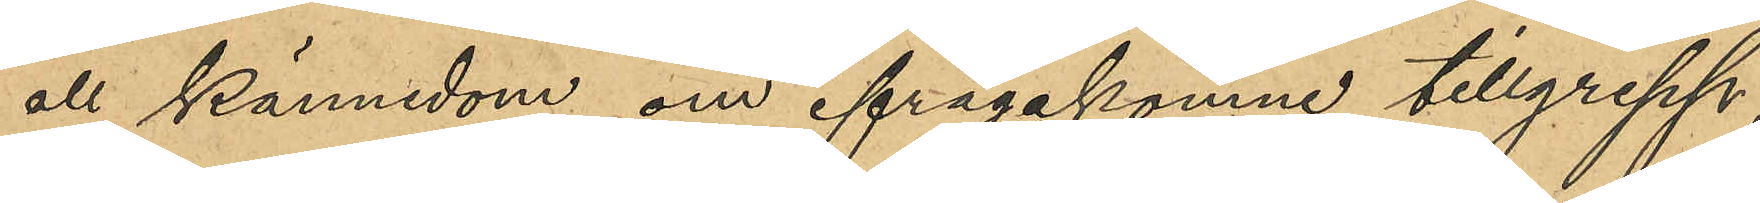all kännedom om ifrågakomne tillgrepp,
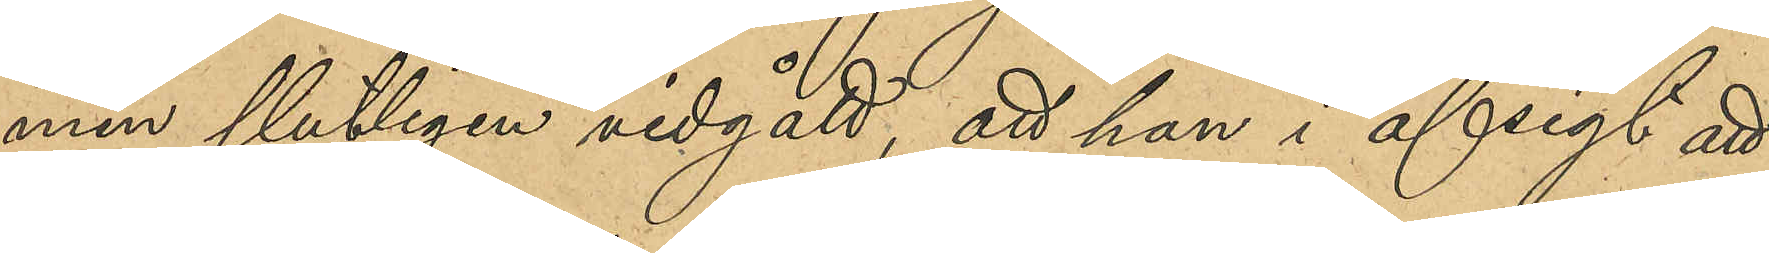men slutligen vidgått, att han i afsigt att
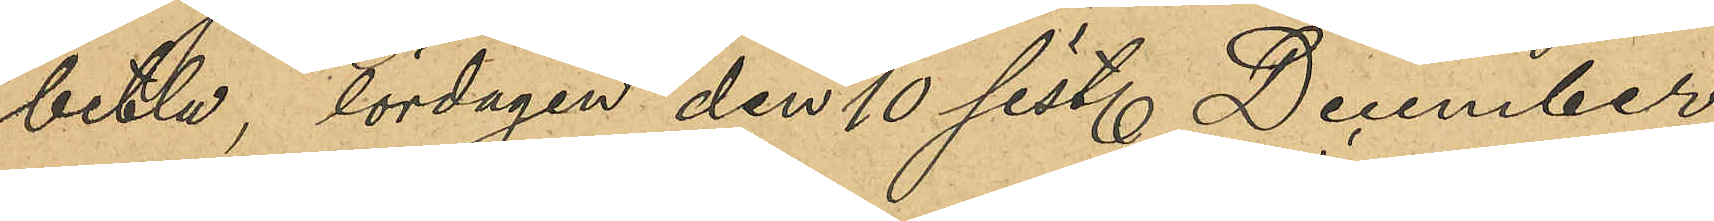betla, lördagen den 10 sist. December
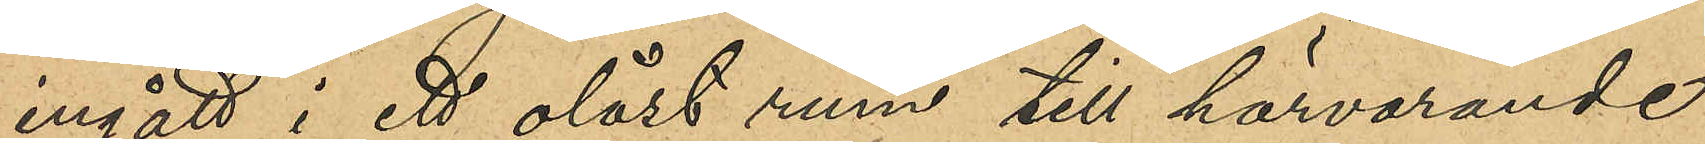ingått i ett olåst rum till härvarande
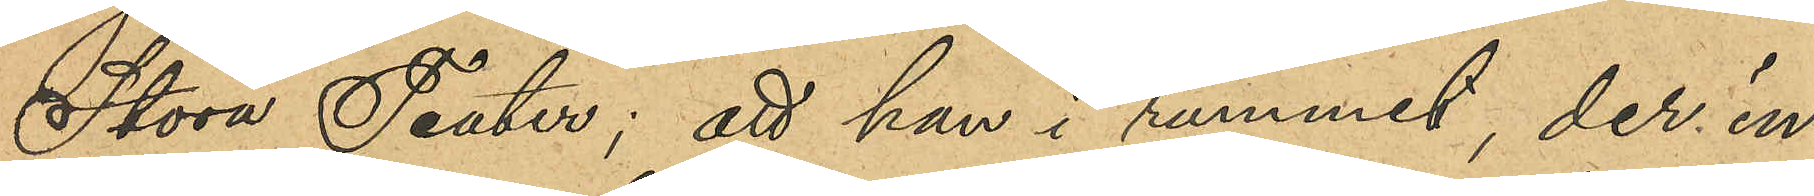Stora Teater; att han i rummet, der in¬
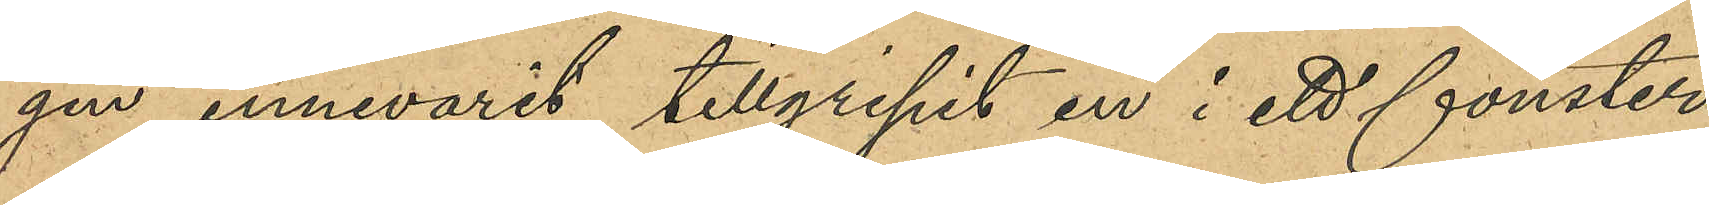gen innevarit, tillgripit en i ett fönster
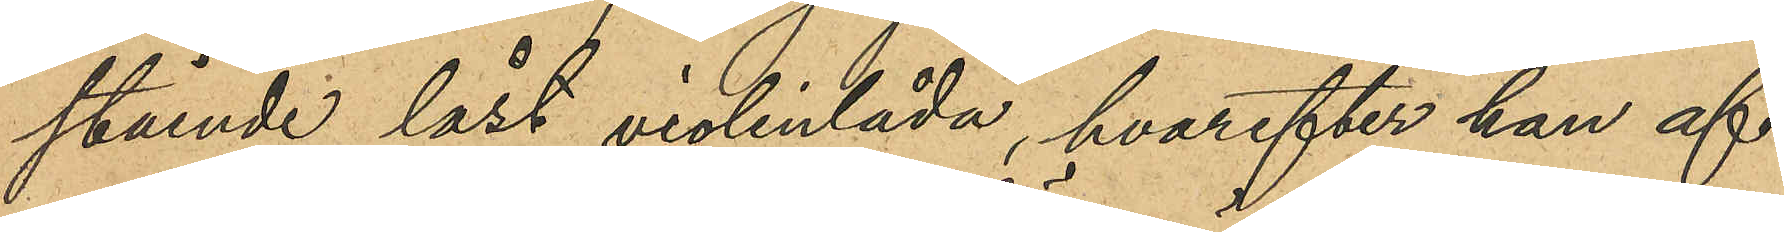stående låst violinlåda, hvarefter han af¬
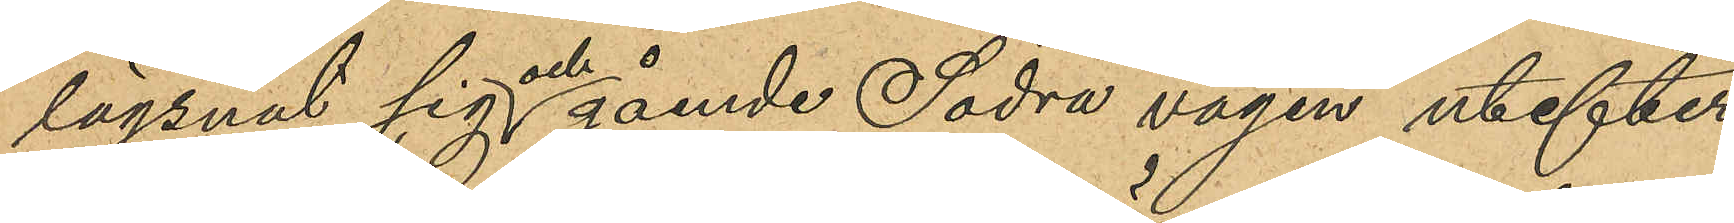lägsnat sig och gående Södra vägen utefter
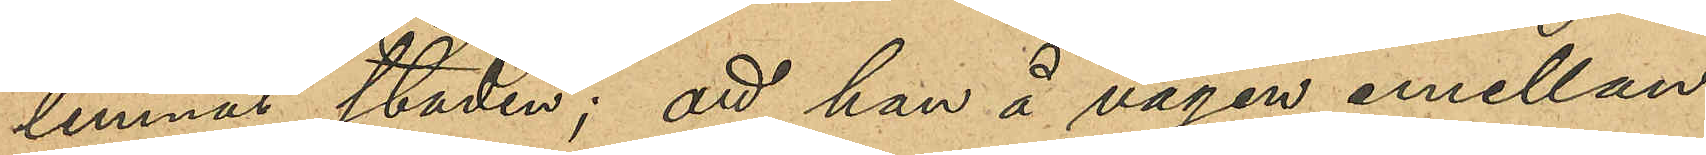lemnat staden; att han å vägen emellan
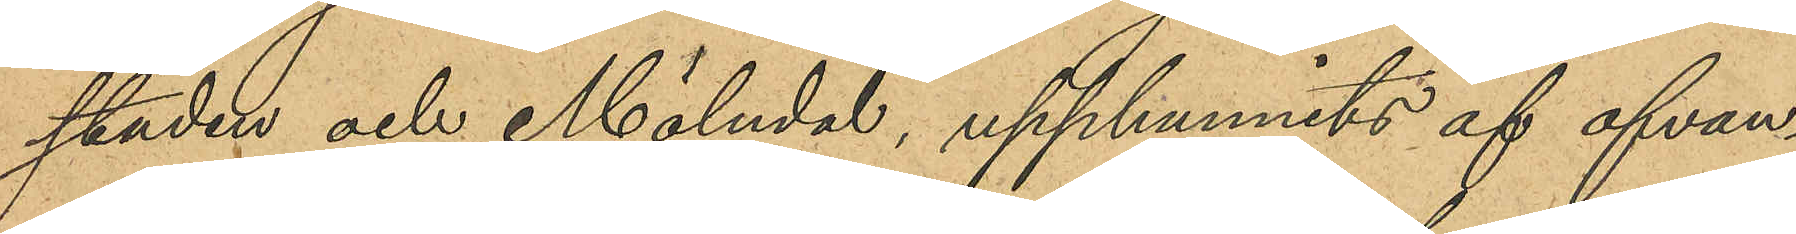staden och Mölndal, upphunnits af ofvan
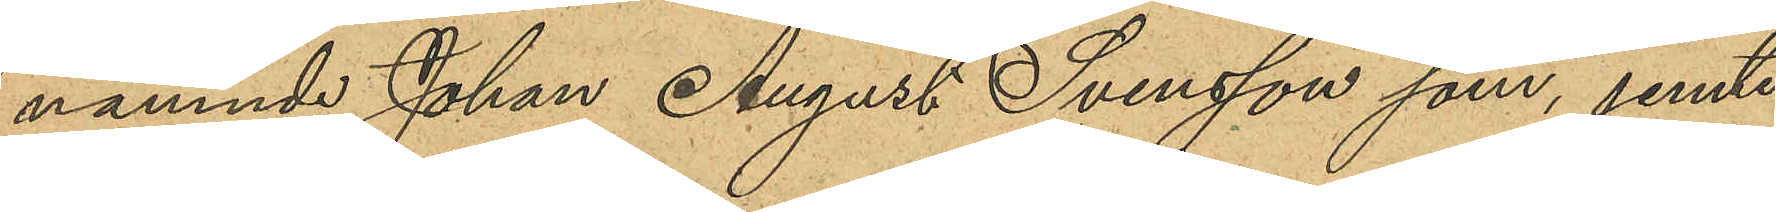namnde Johan August Svensson som, jemte
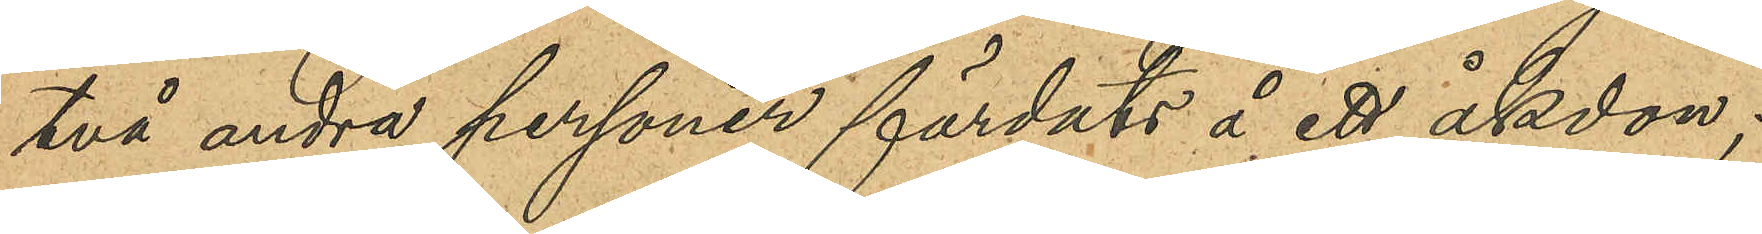två andra personer färdats å ett åkdon;
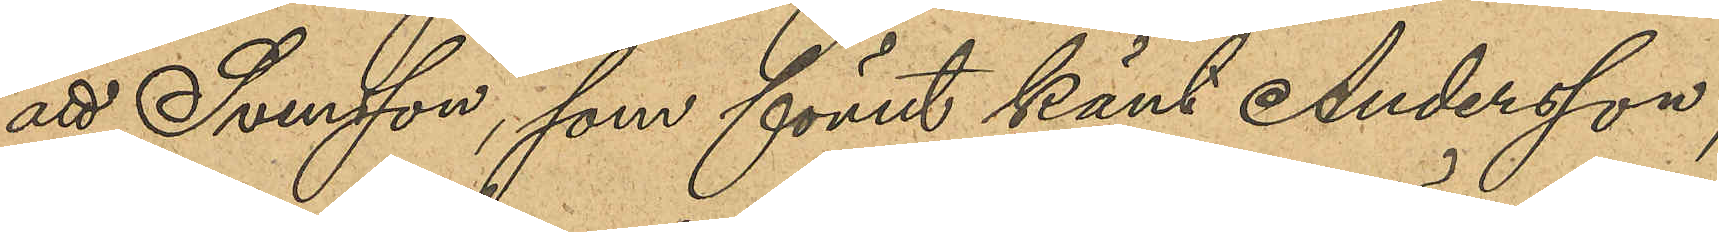att Svensson, som förut känt Andersson,
